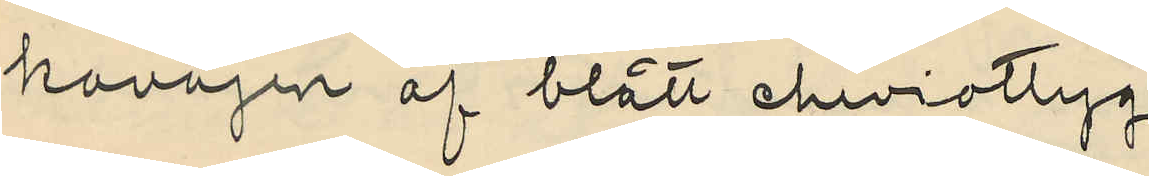kavajen af blått cheviottyg
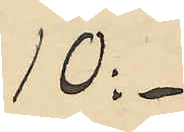10:-
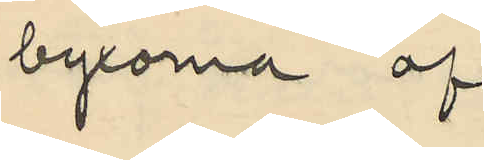byxorna af
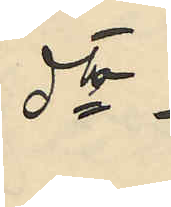dto
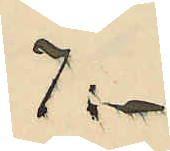7:-
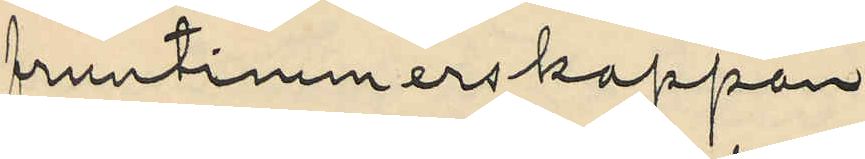fruntimmerskappan
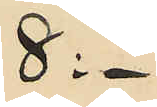8:-
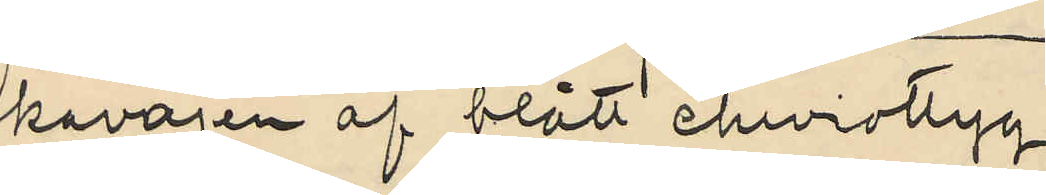kavajen af blått cheviottyg
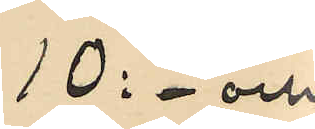10: - och
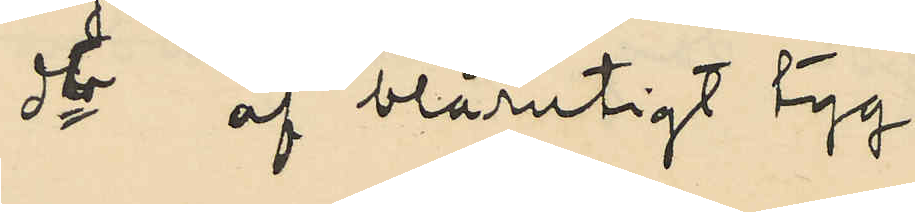dto af blårutigt tyg
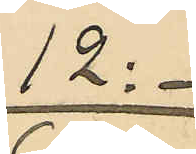12:-
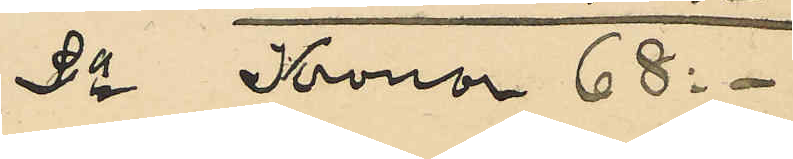Sa Kronor 68:-
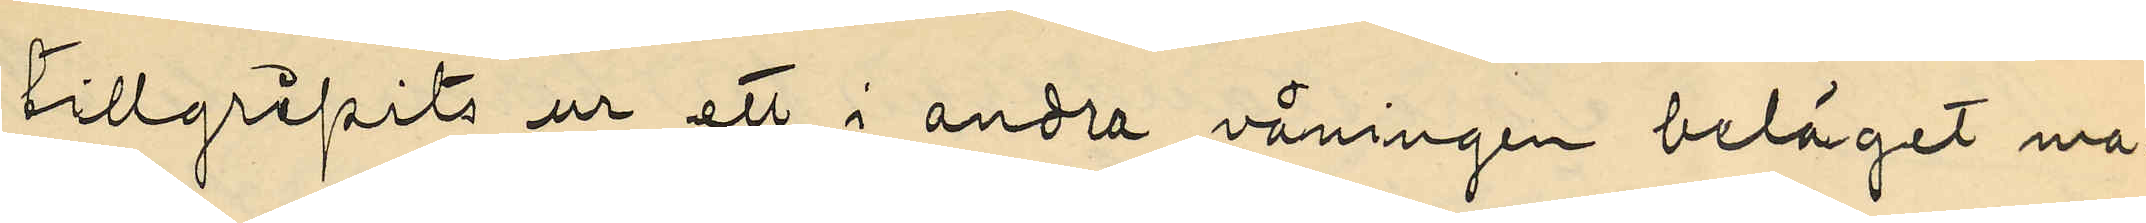tillgripits ur ett i andra våningen beläget ma¬
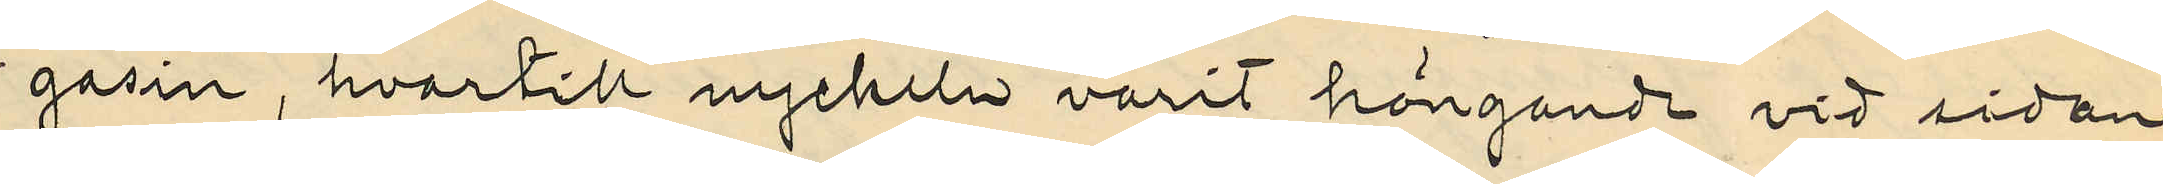gasin, hvartill nyckeln varit hängande vid sidan
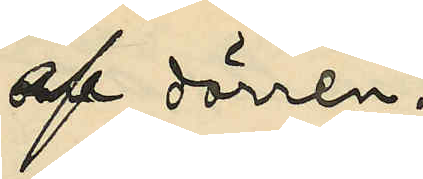af dörren.
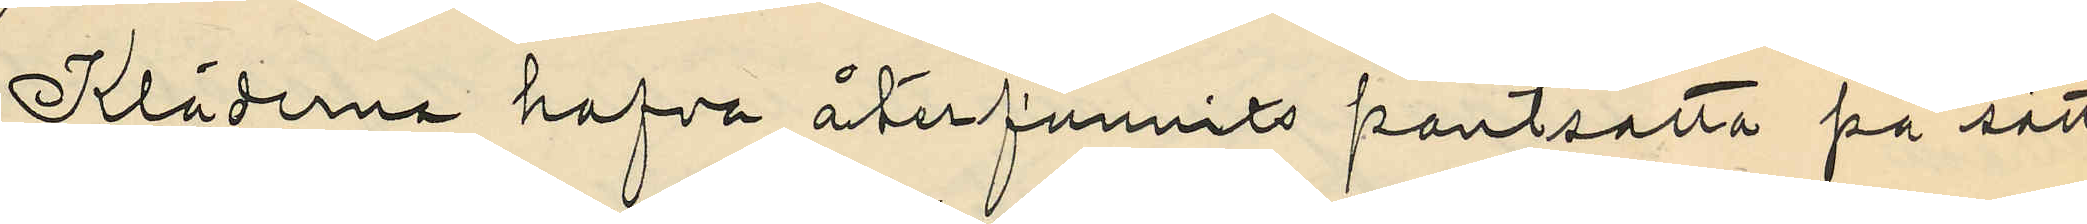Kläderna hafva återfunnits pantsatta på sätt
